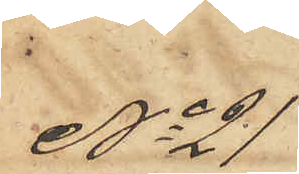No 21
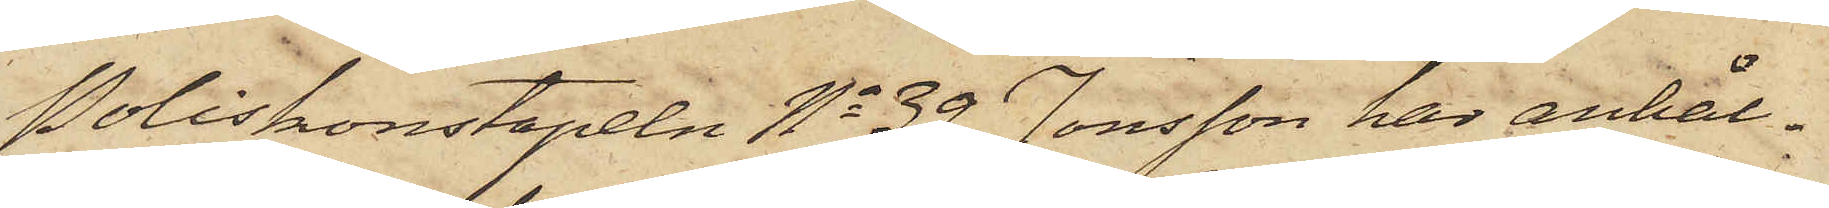Poliskonstapeln No 39 Jonsson har anhål¬
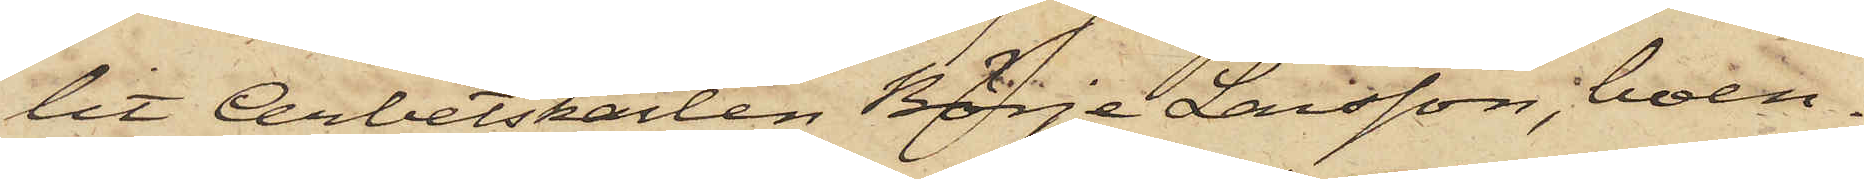tit Arbetskarlen Börje Larsson, boen¬
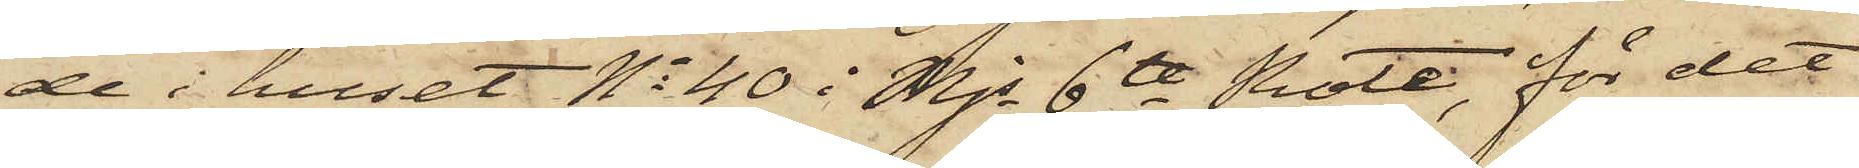de i huset No 40 i Mjs 6te Rote, för det
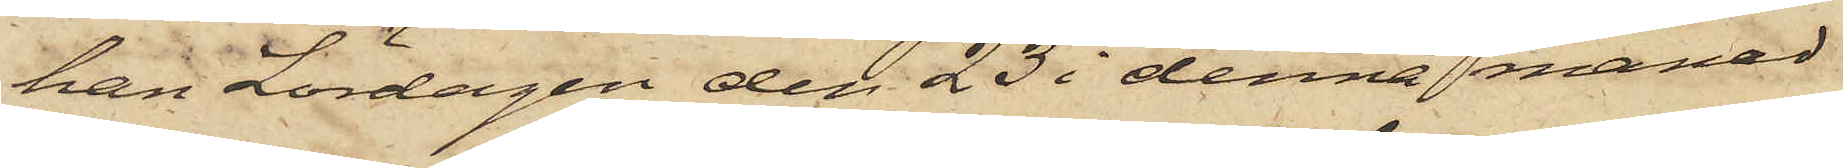han Lördagen den 23 i denna månad
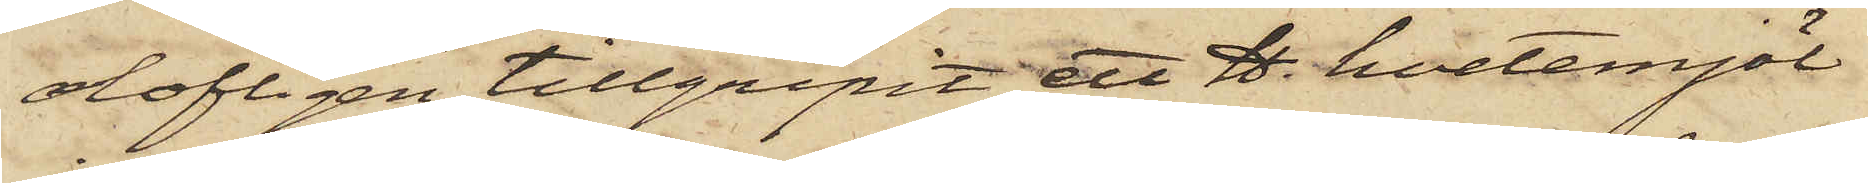olofligen tillgripit ett ℔. hvetemjöl
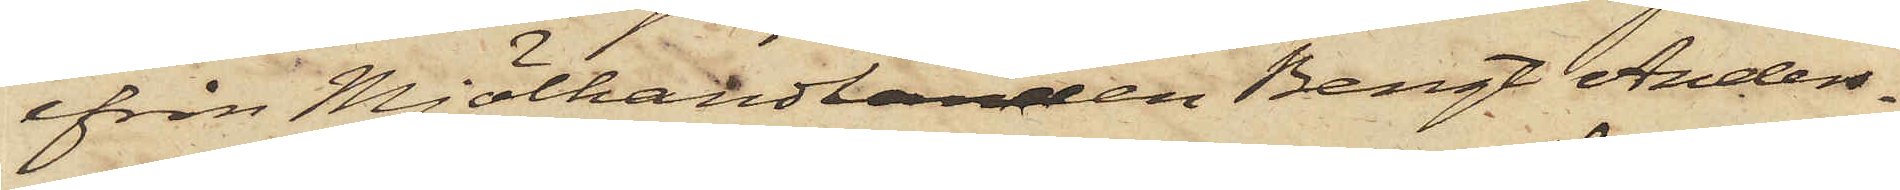ifrån Mjölhandlanden Bengt Anders¬
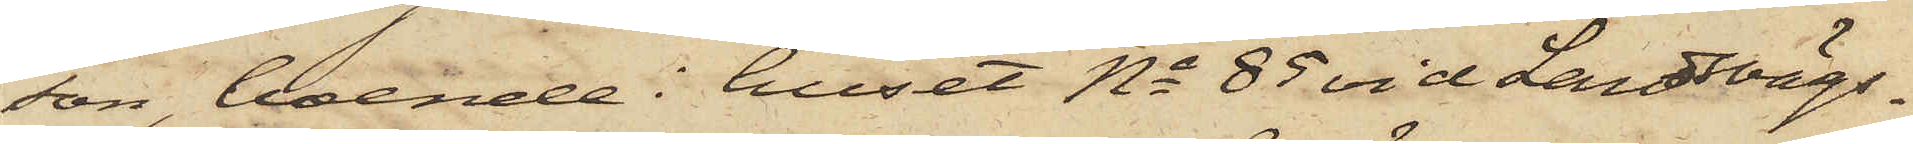son, boende i huset No 85 vid Landsvägs¬
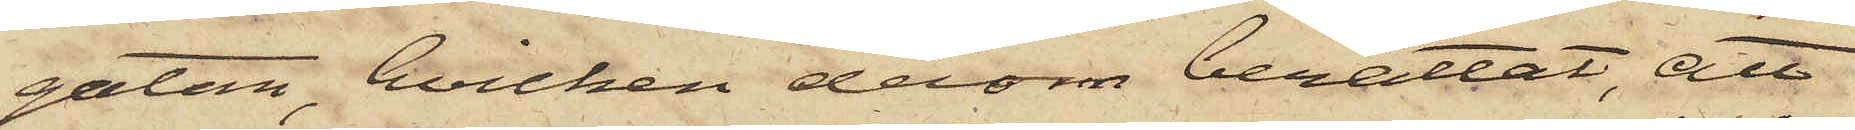gatan, hvilken derom berättat, att
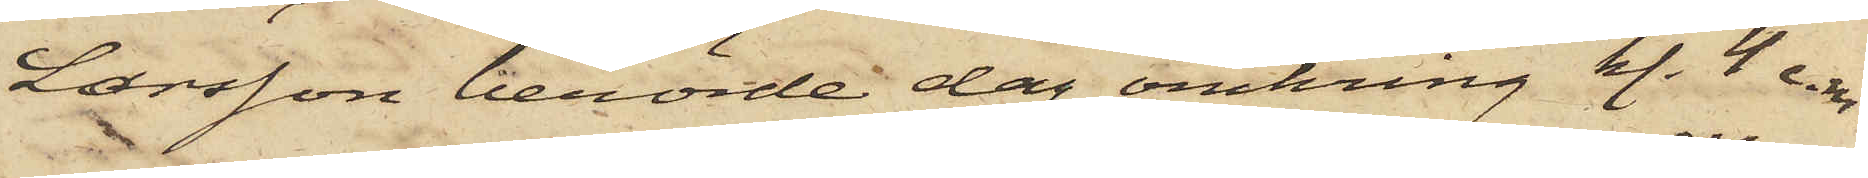Larsson berörde dag omkring kl. 4 e.m.
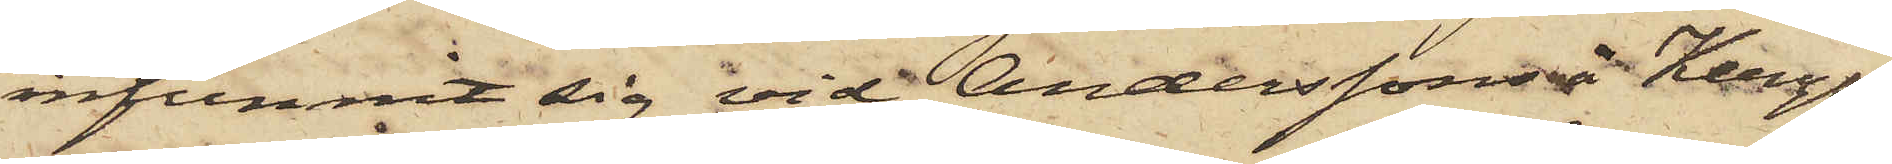infunnit sig vid Anderssons å Kungs¬
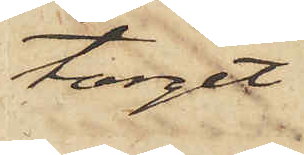torget
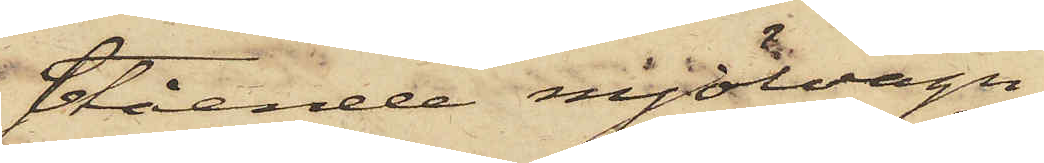stående mjölvagn
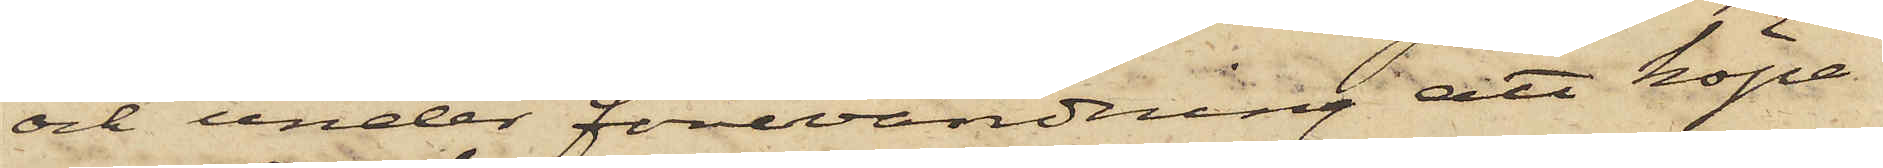och under förevändning att köpa
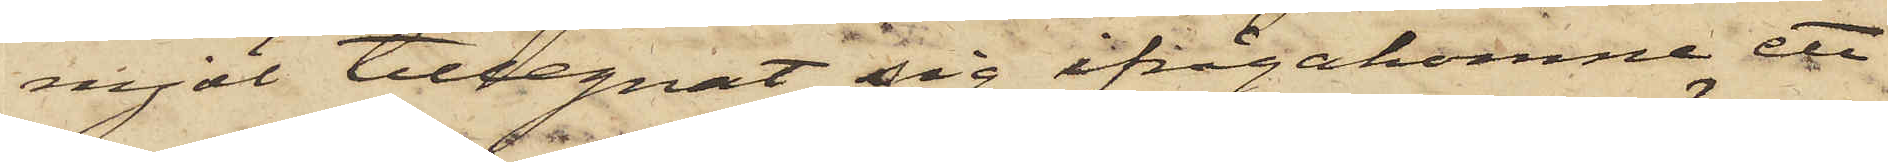mjöl tillegnat sig ifrågakomne ett
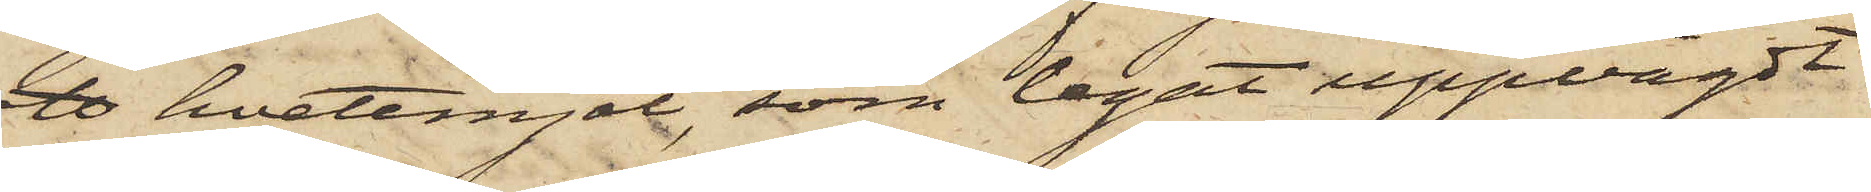℔ hvetemjöl, som legat uppvägdt
